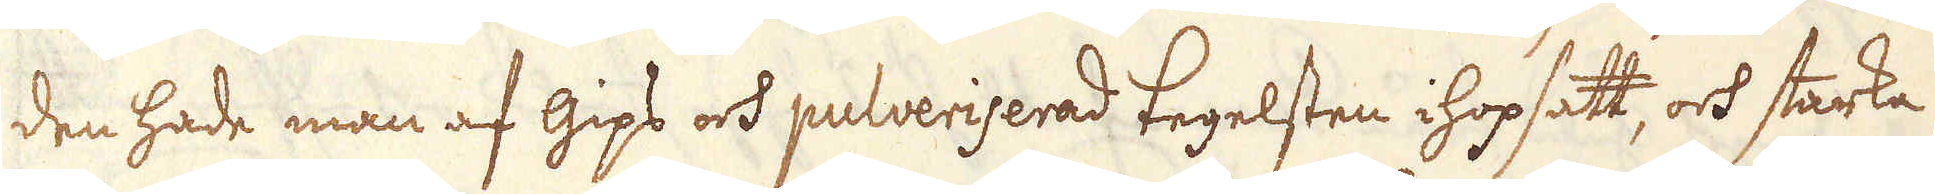den hade man af Gips och pulveriserad tegelsten ihopsatt, och starka
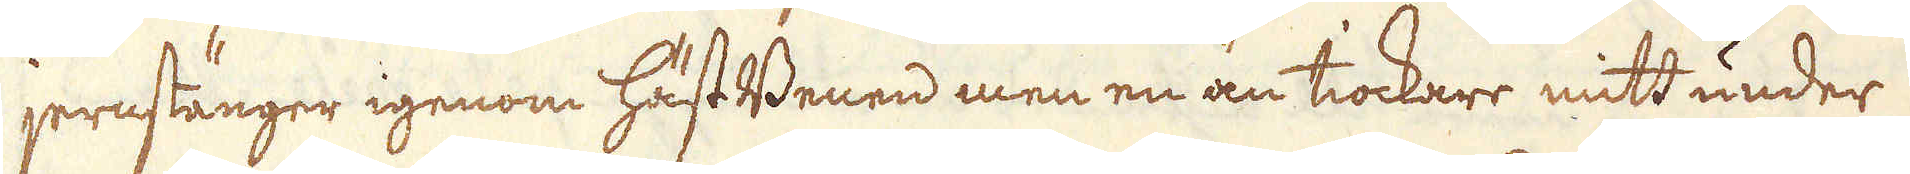jernstänger igenom hästBenen men en än tiockare mitt under
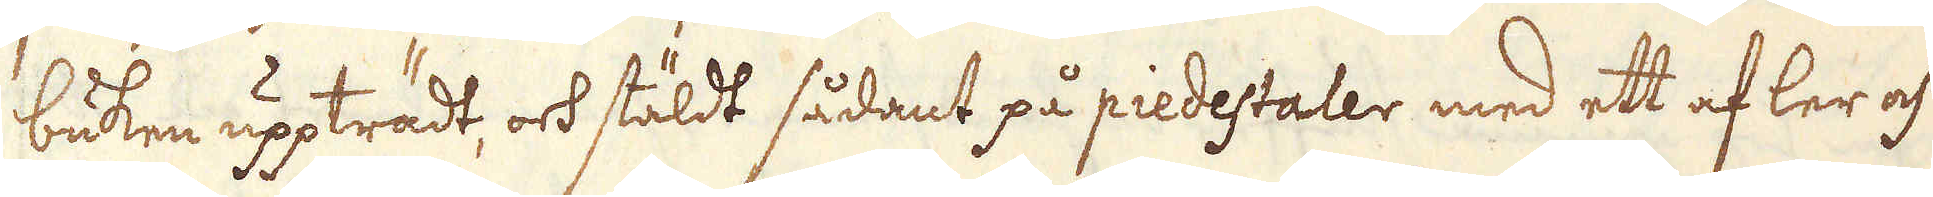buken uppträdt, ock stäldt sådant på piedestaler med ett af ler och
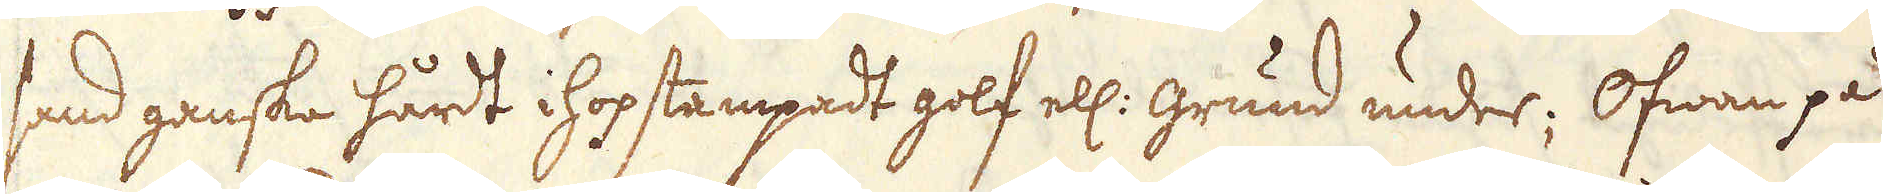sand ganske hårdt hopstampadt golf ell: Grund under; Ofwan på
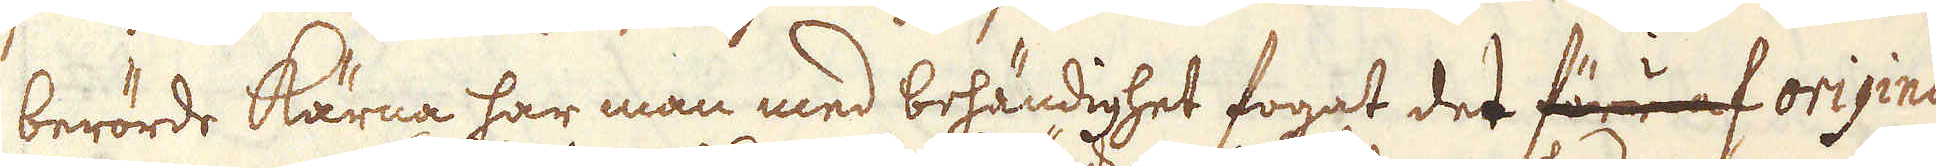berörde kärna har man med behändighet fogat der förr af origina-
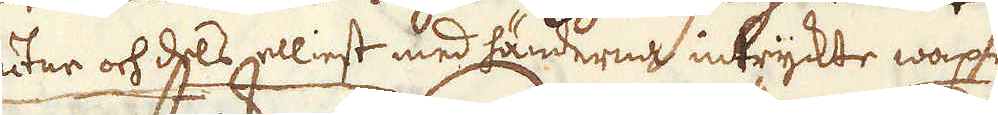dels gutar och dels elliest med händerna intryckte waxet
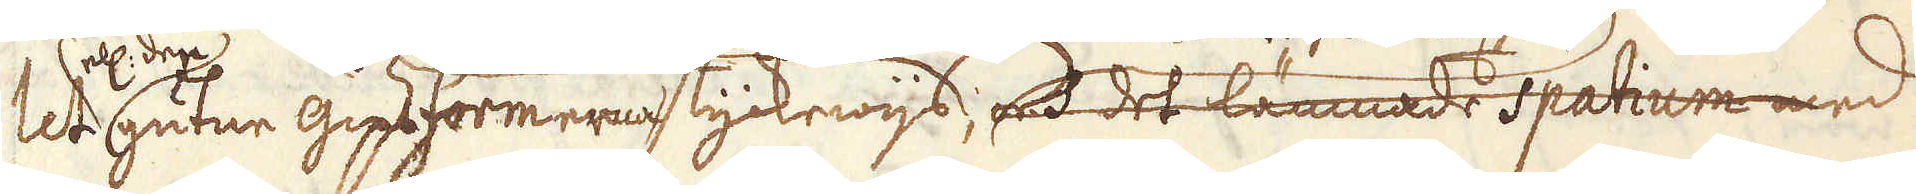let el. den guten gipsformerna styckwijs och det lämnade Spatium med
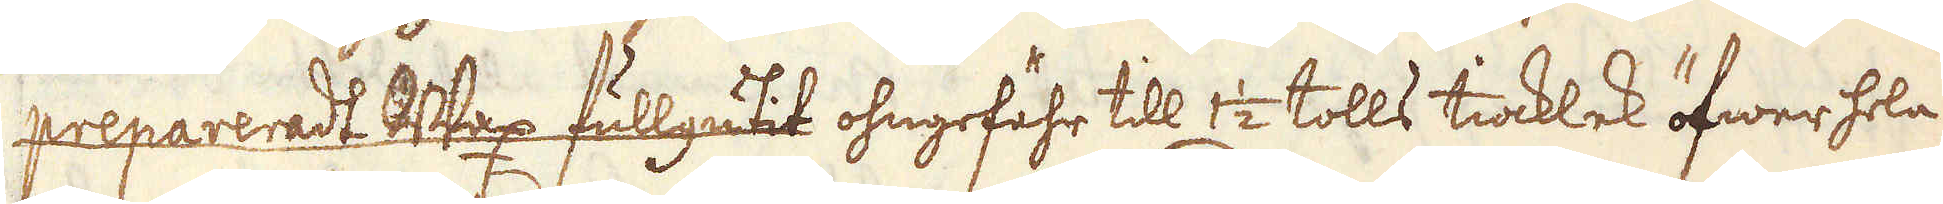prepareradt strax fullgutit ohngefähr till 1 1/2 tolls tiocklek öfwer hela
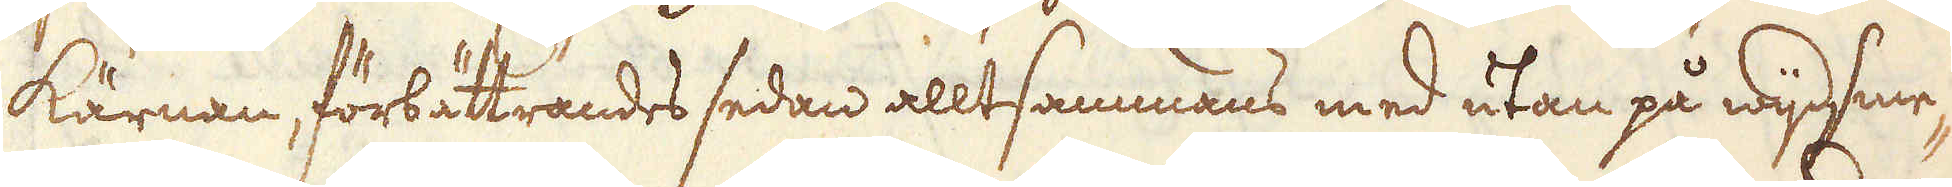kärnan, förbättrandes sedan alltsammmans med utan på wijgsme-
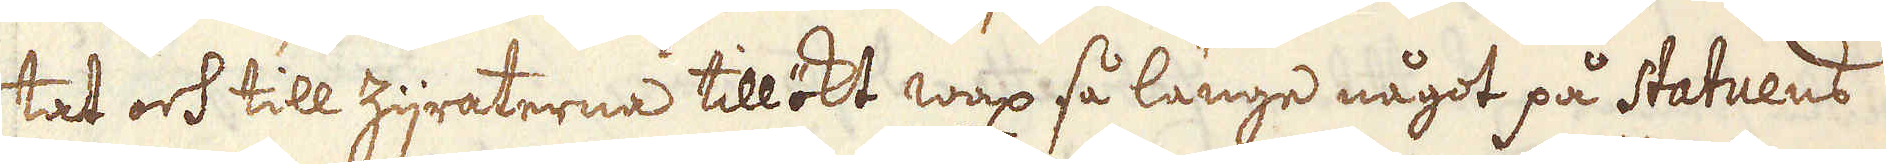tak och till zijraterne tillökt wax så länge något på Statuens
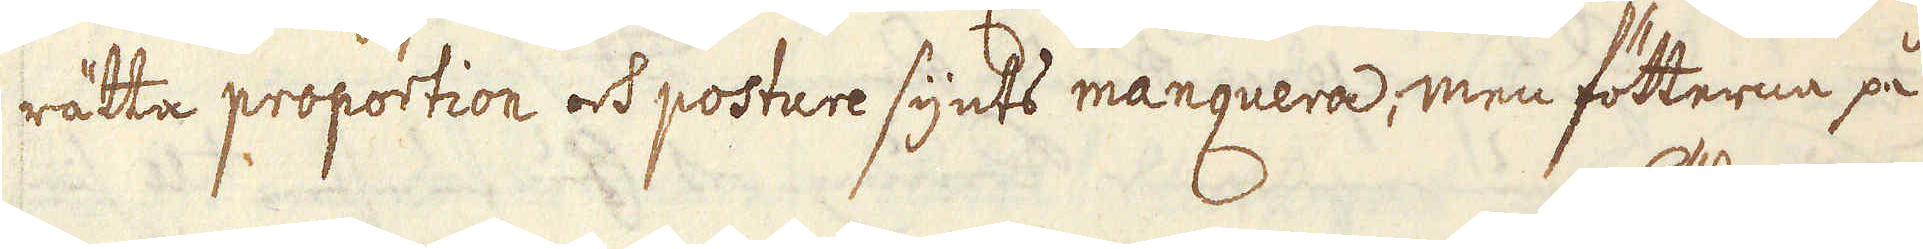rätta proportion och posture synts manquera; men fötterna på
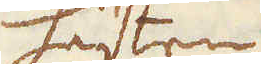hästen
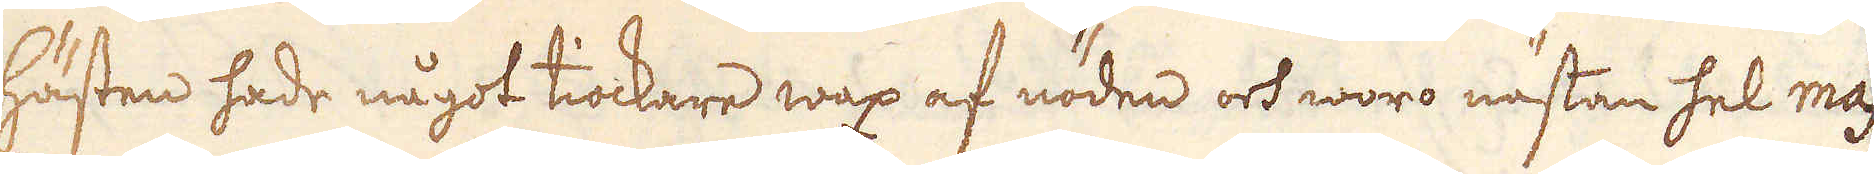hästen hade något tiockere wax af nöden och woro nästan hel mas-
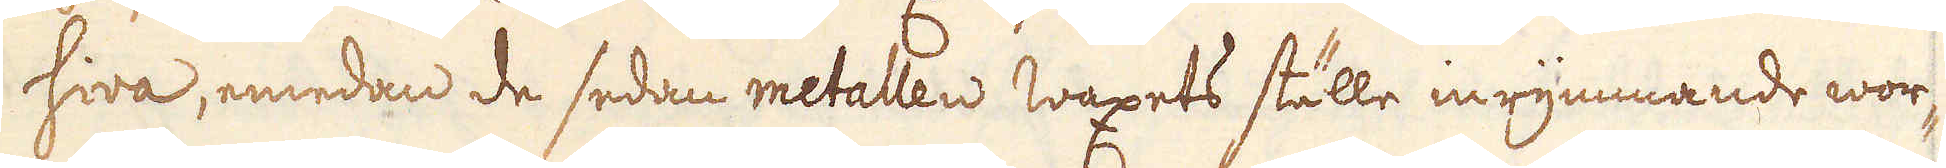siva, emedan de sedan metallen waxets ställe inrymmande wor-
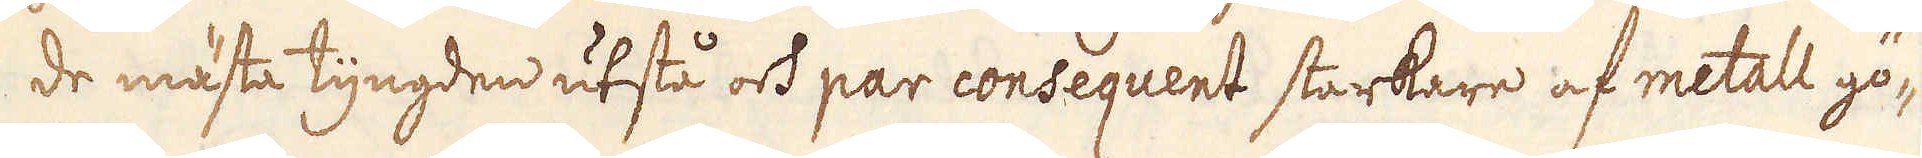de mästa tyngden utstå oss par consequent starkare af metall gö-
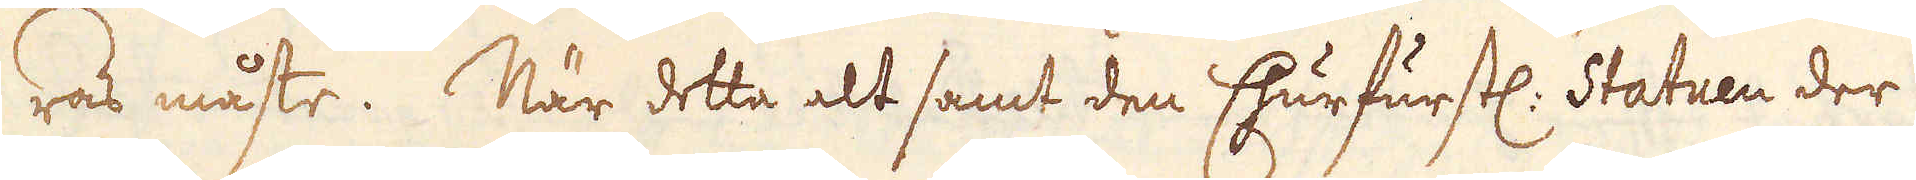ras måste. När detta alt samt den Churfurstl. Statuen der
